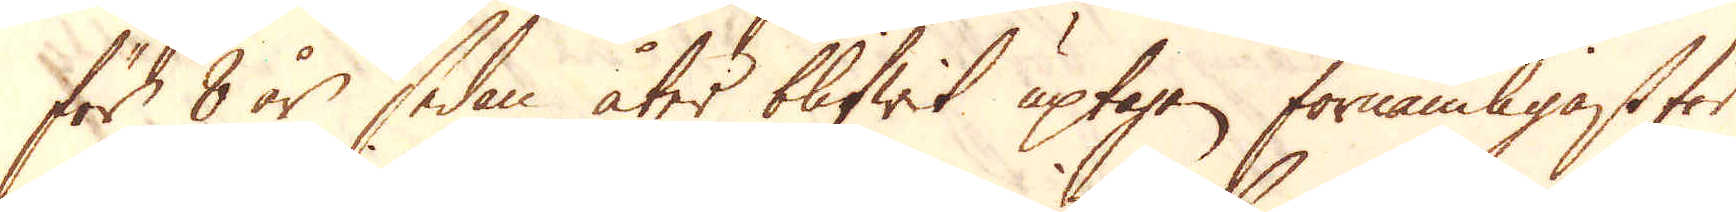för 8 år sedan åter blifwit uptagen förnämligast för
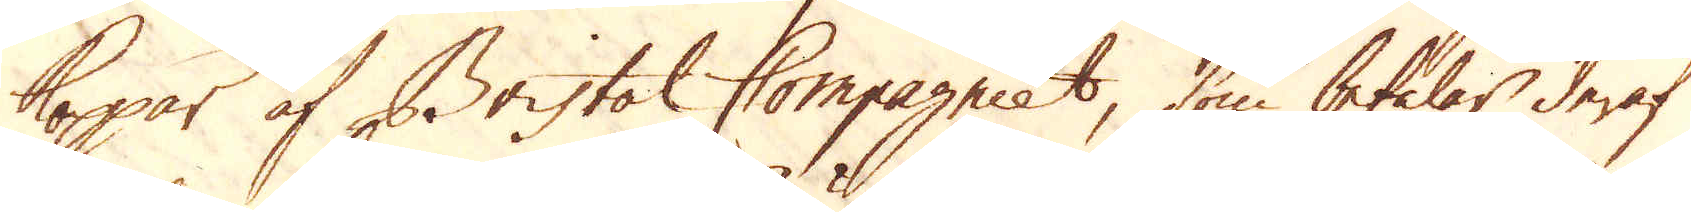koppar af Bristol Compagniet, som betalar deraf
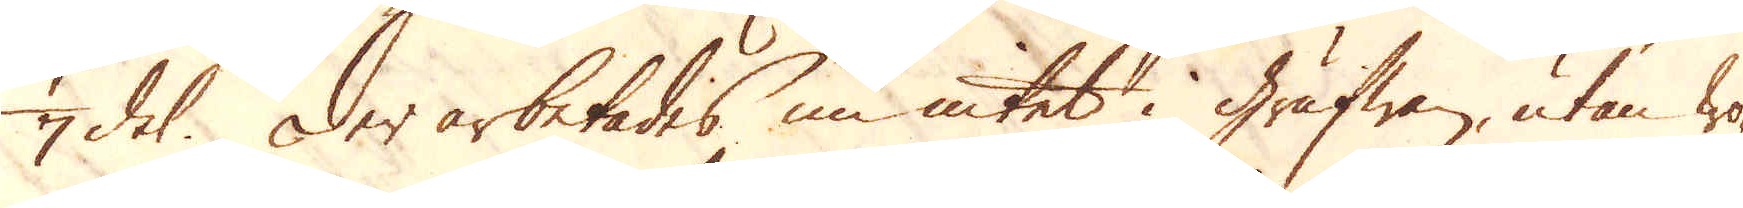1/7 del. Der arbetades nu intet i grufwan, utan wa-
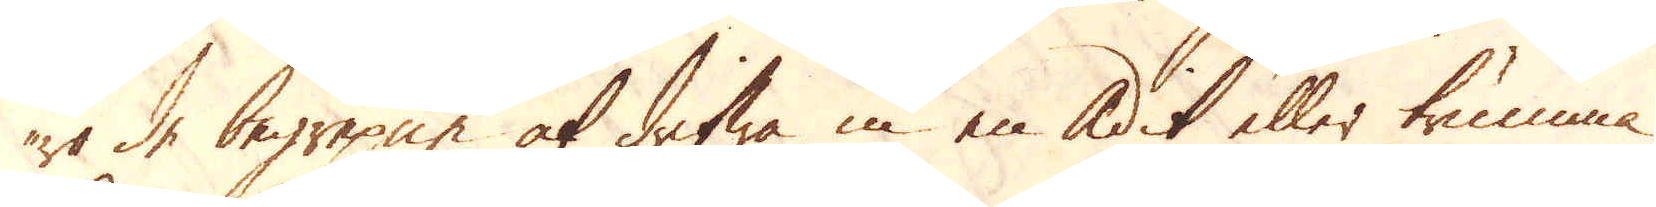ro de begrepne at drifwa in en Adit eller trumma,
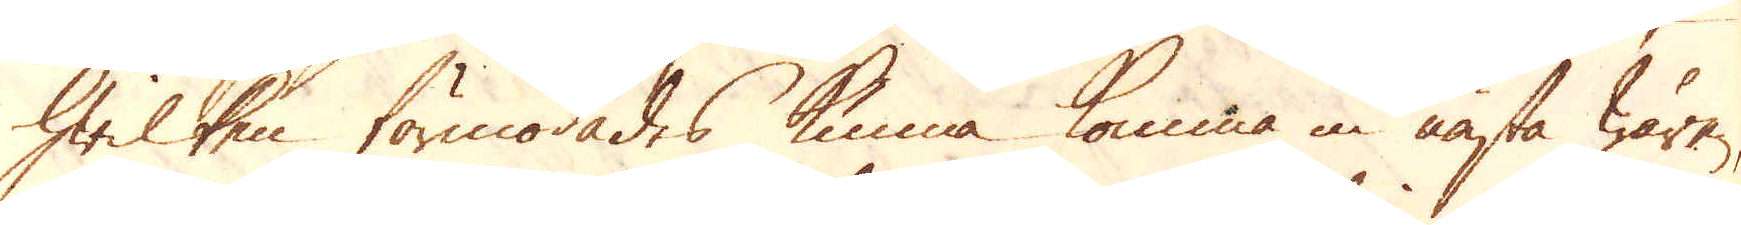hwilken förmodades kunna komma in nästa wåren
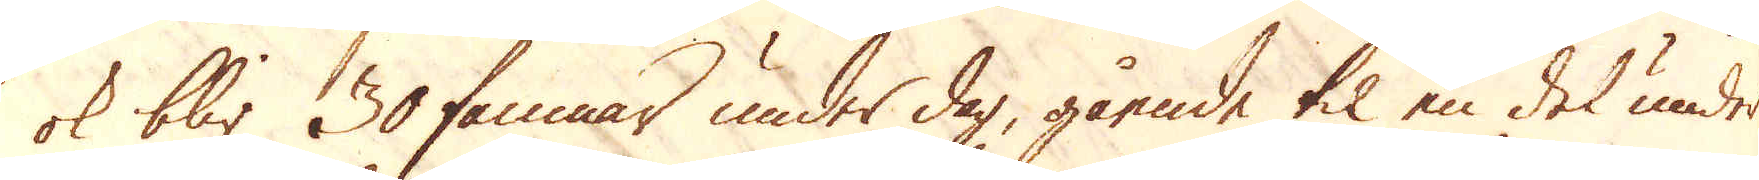ok blir 30 famnar under dag, gående til en del under
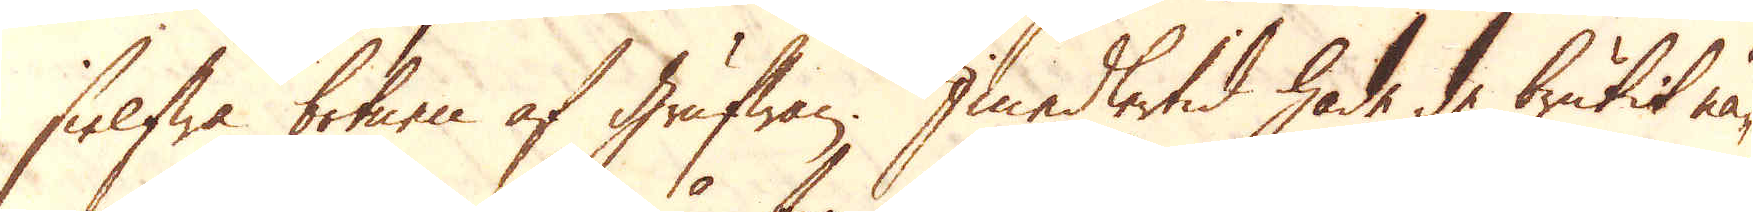sielfwa botnen af grufwan. Imedlertid hade de brutit nå-
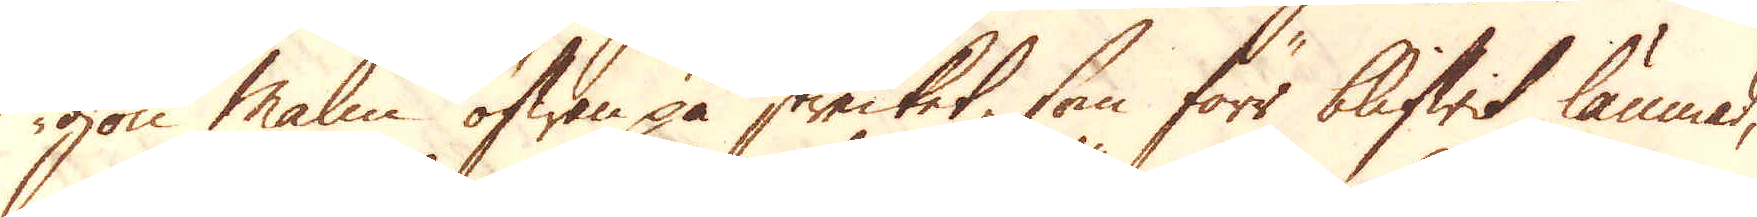gon Malm ofwan på strecket, som förr blifwit lämnad,
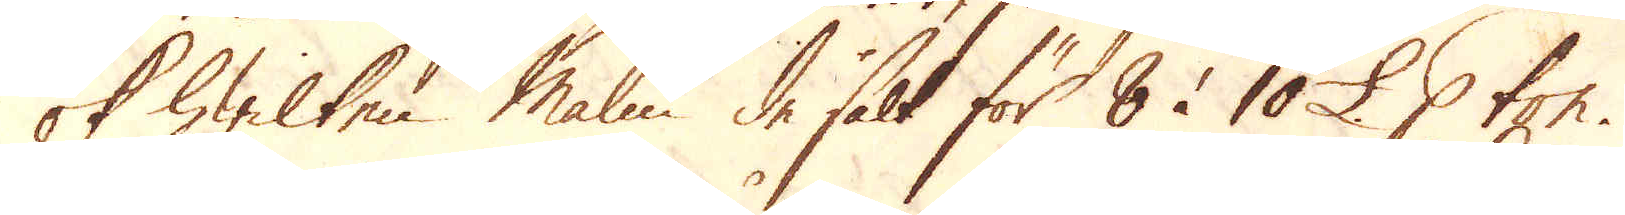ok hwilken Malm de sålt för 8 à 10 £. p ton.
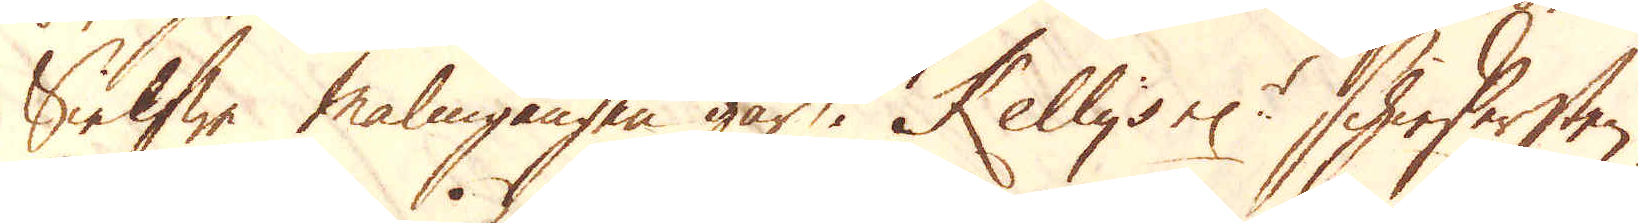Sielfwe malmgången går i Kelly's el:r schieffersten.
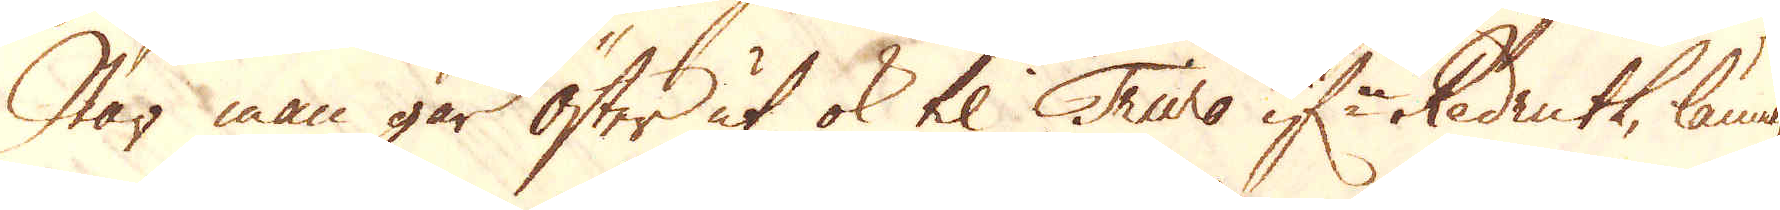När man går Öster ut ok til Truro if:n Redruth, lämnar
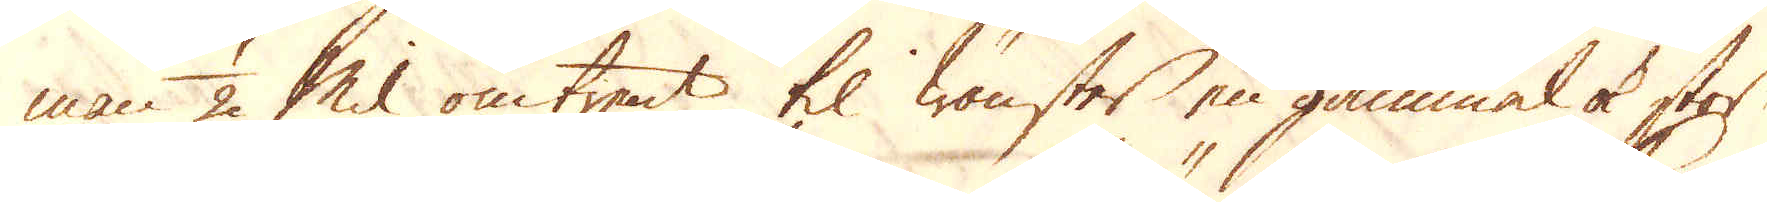man 1/2 Mil omtrent til wänster en gammal ok stor
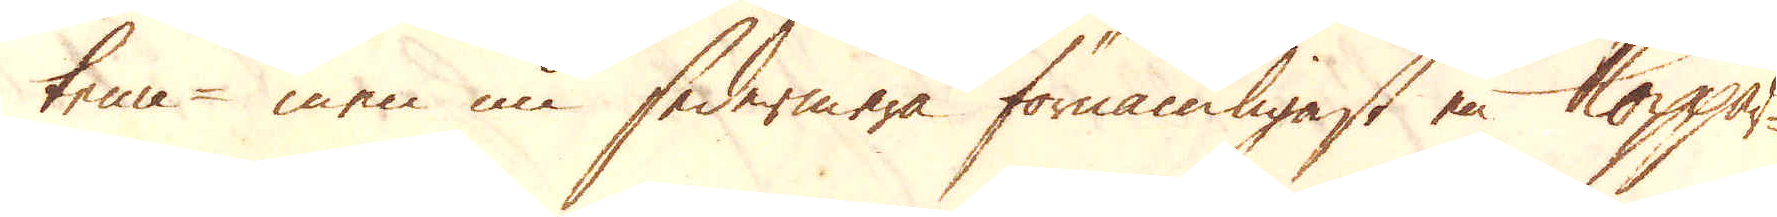tenn- men nu sedermera förnämligast en koppar
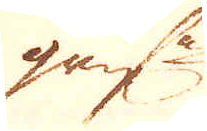gruf:a
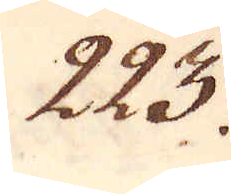223.
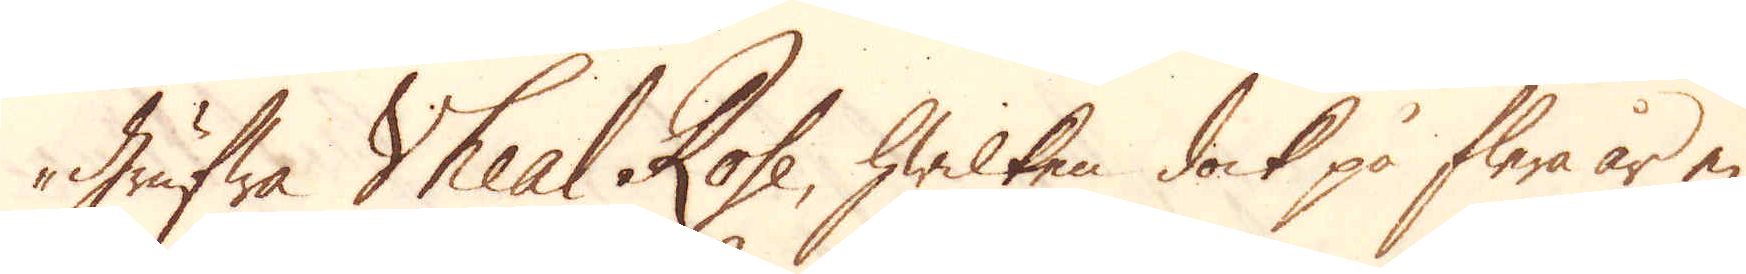grufwa Vheal Rose, hwilken dock på flera år ej
